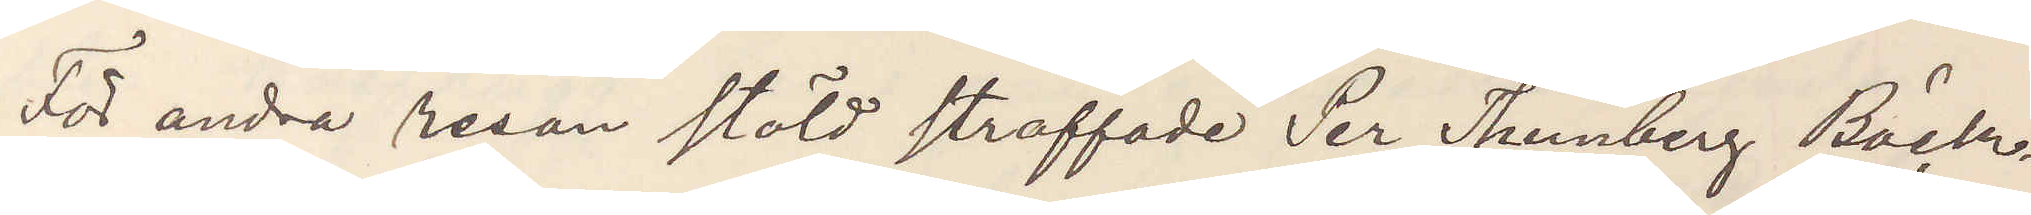För andra resan stöld straffade Per Thunberg Bäck¬
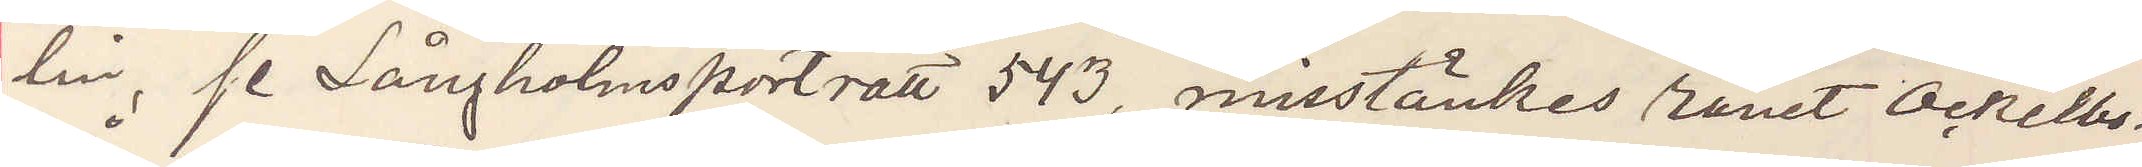lin, se Långholmsporträtt 543, misstänkes rånat Ockelbo
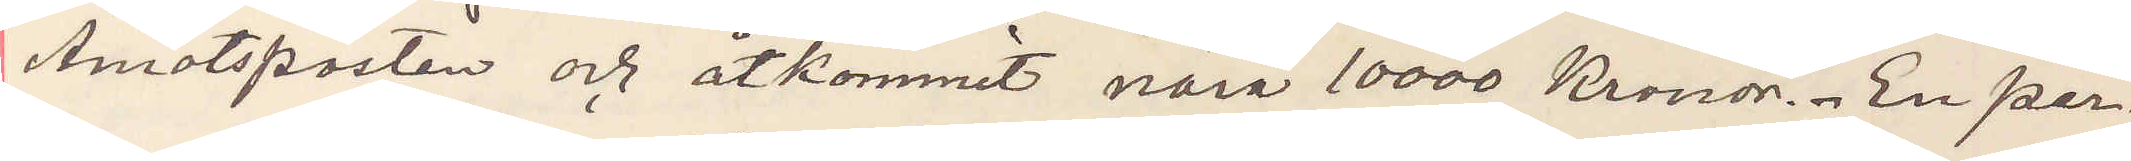Åmotsposten och åtkommit nära 10000 Kronor. En per¬
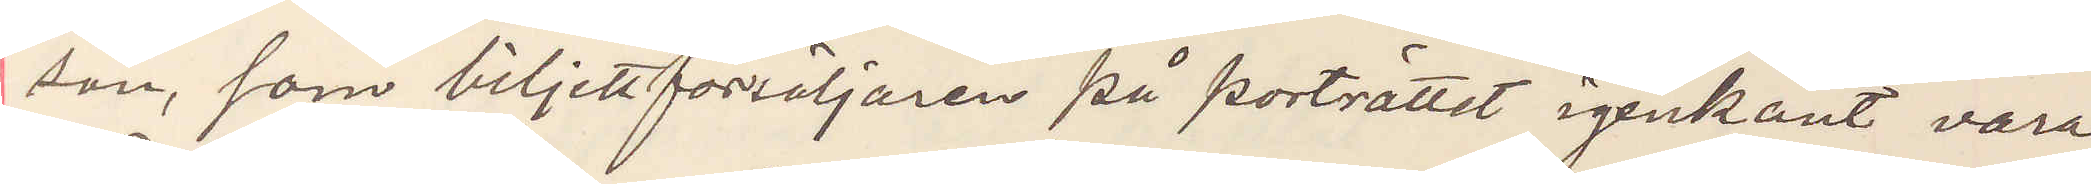son, som biljettförsäljaren på porträttet igenkänt vara
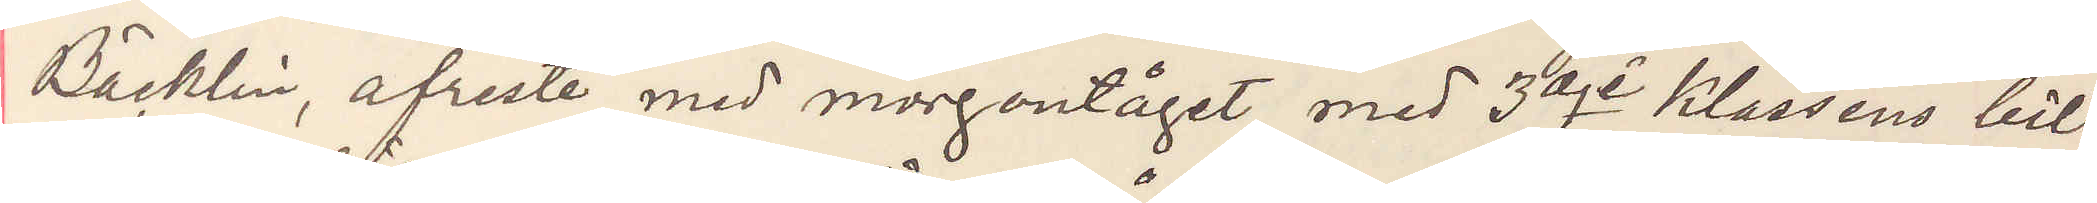Bäcklin, afreste med morontåget med 3dje Klassens bil¬
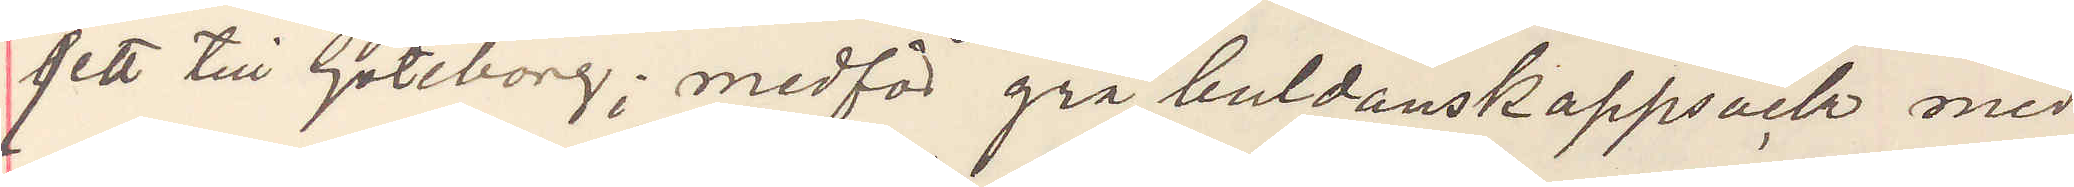jett till Göteborg; medför grå buldanskappsäck med
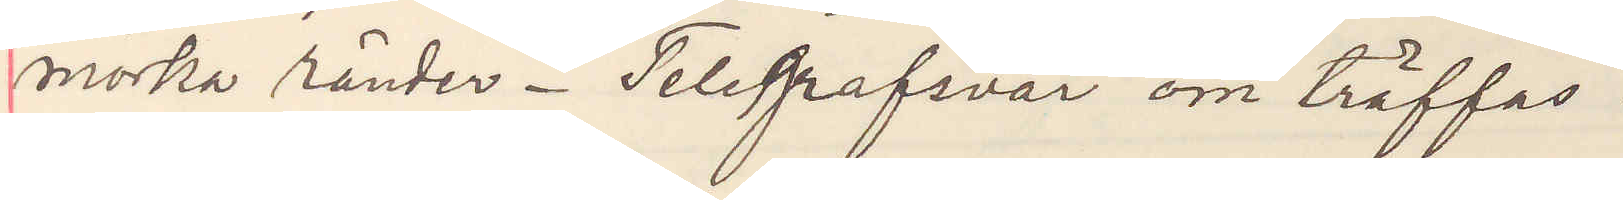mörka ränder. Telegrafsvar om träffas.
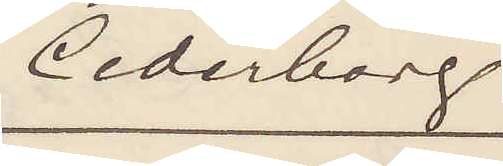Cederborg.
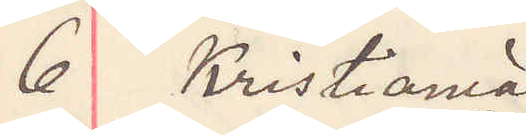6 Kristiania
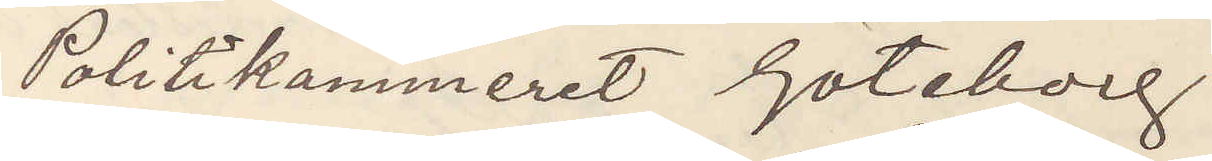Politikammeret Göteborg.
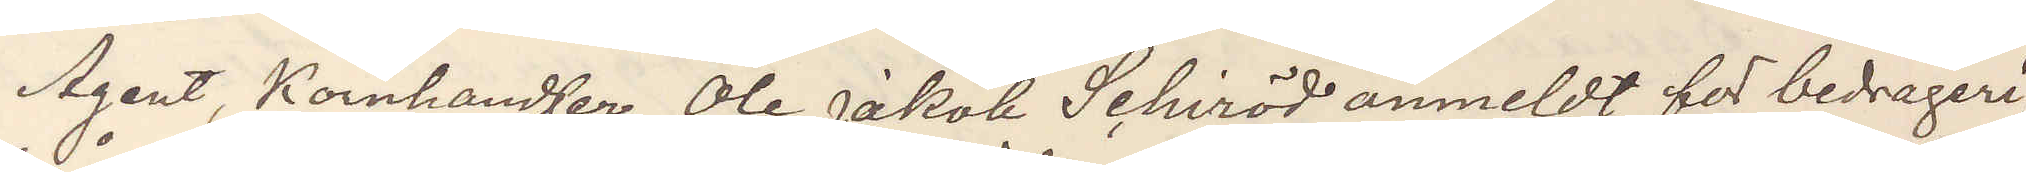Agent, Kornhandler Ole Jakob Schiröd anmeldt for bedrageri,
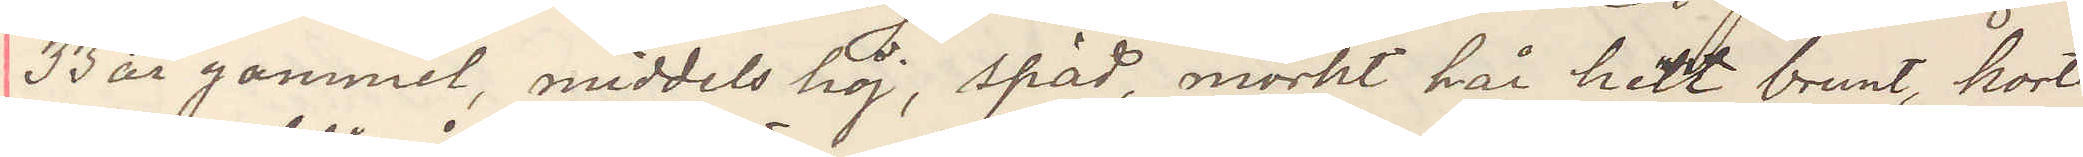33 år gammel, middels höi, späd, mörkt hår helt brunt, kort
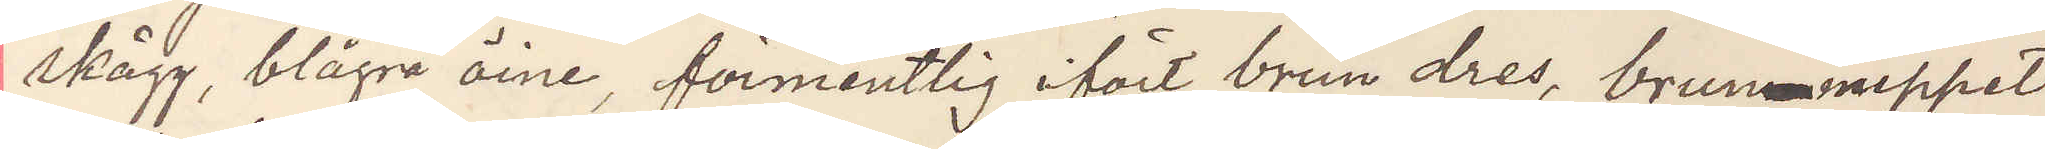skägg, blågrå öine, förmentlig ifört brun dres, brunnuppet
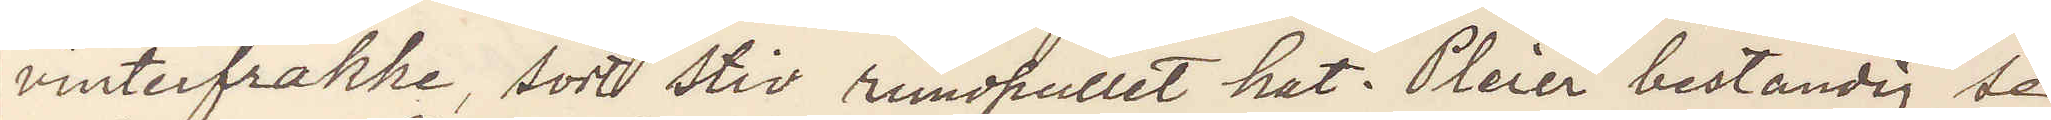vinterfrakke, sort stiv rundpullet hat. Pleier bestandig se
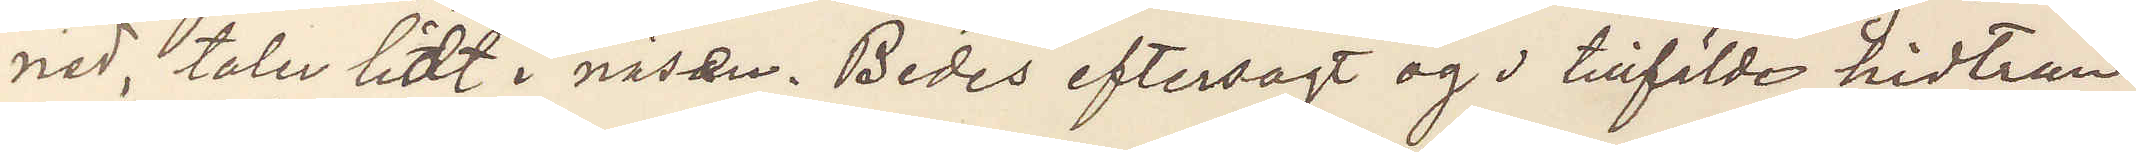ned, taler lidt i näsan. Bedes eftersogt og i tilfälde hidtran¬
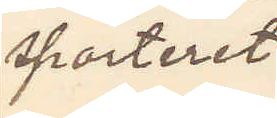sporteret.
